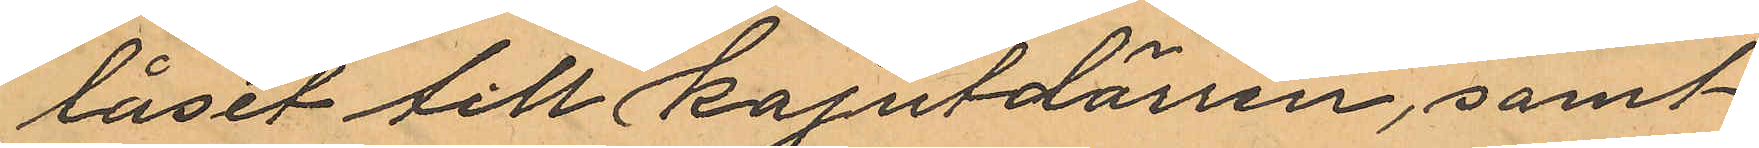låset till kajutdörren, samt
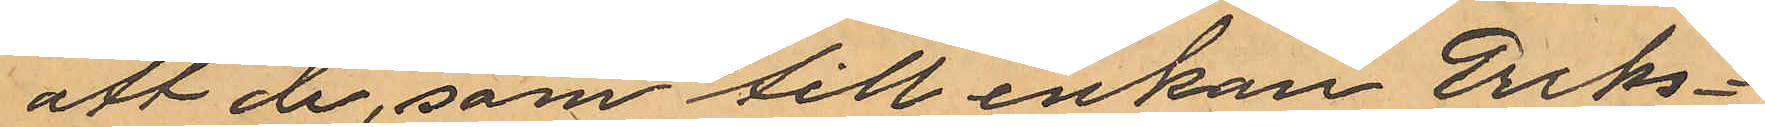att de, som till enkan Eriks¬
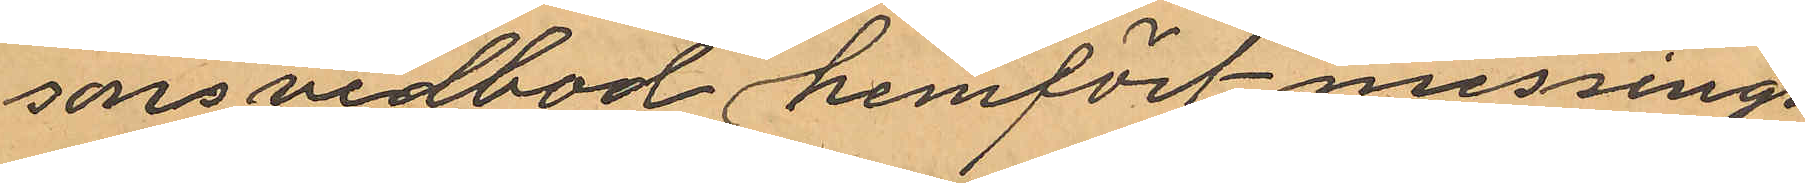sons vedbod hemfört messings¬
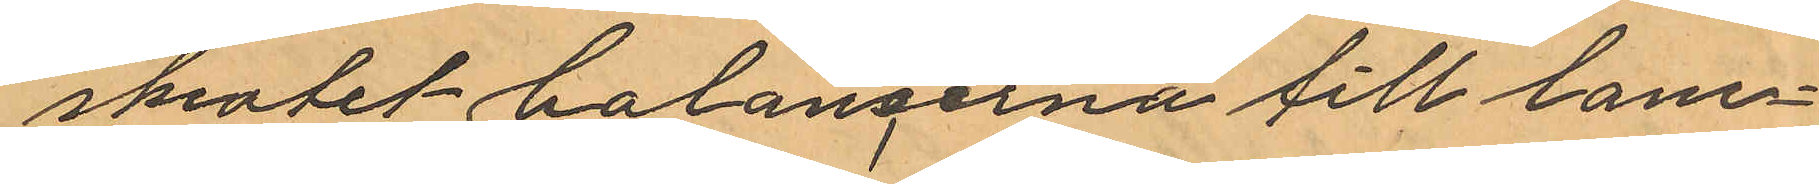skrotet balancerna till lam¬
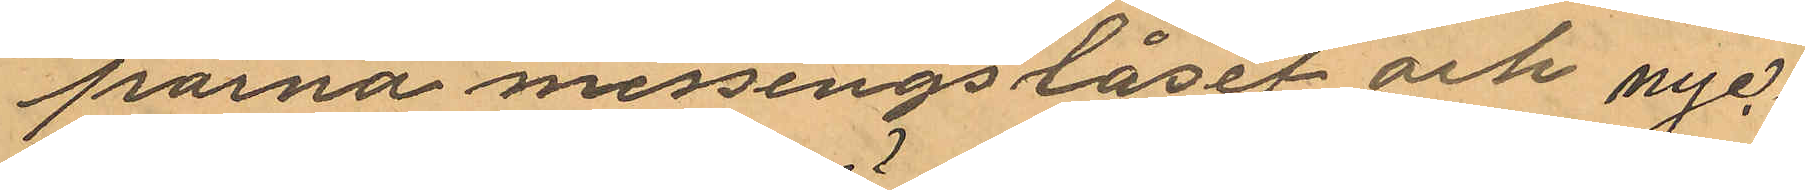porna, messingslåset och nyc¬
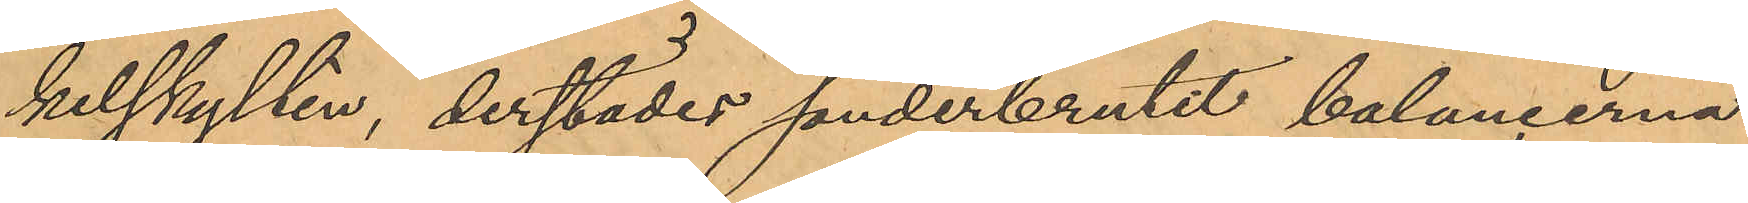kelskylten, derstädes sönderbrutit balancerna
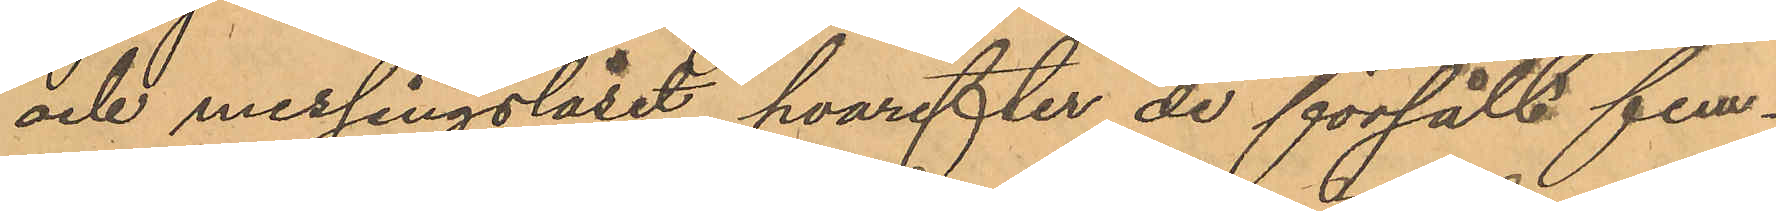och messingslåset, hvarefter de försålt fem¬
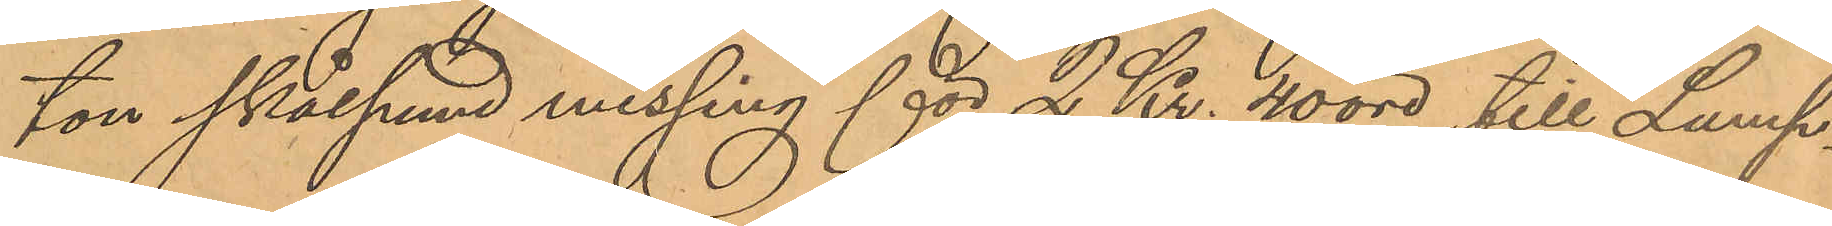ton skålpund messing för 2 Kr. 40 öre till Lump¬
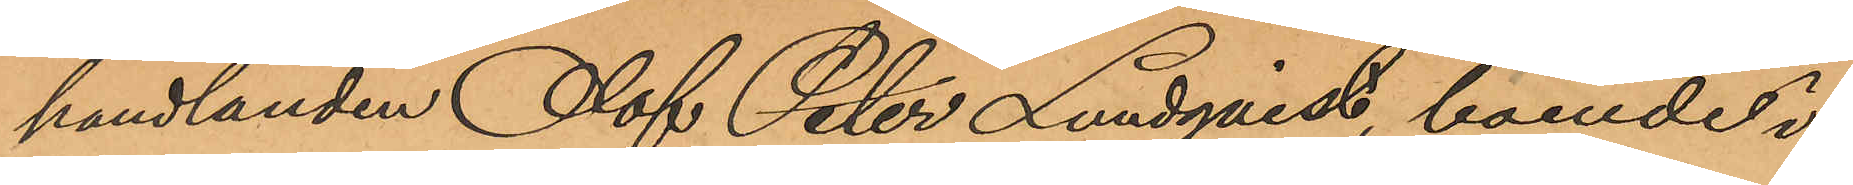handlanden Olof Peter Lundqvist, boende i
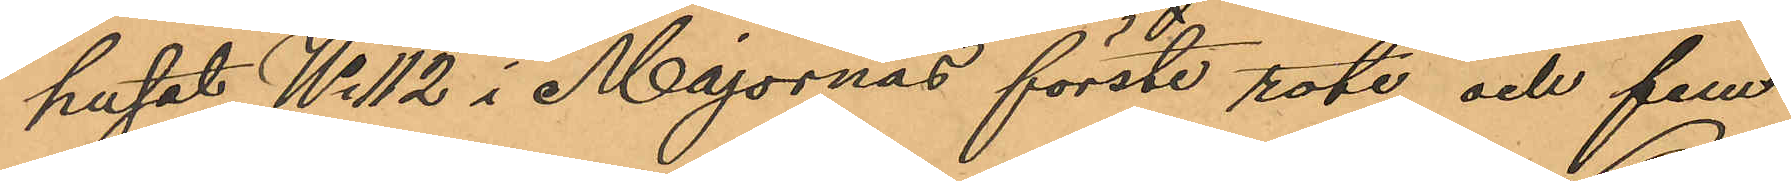huset No 112 i Majornas förste rote, och fem
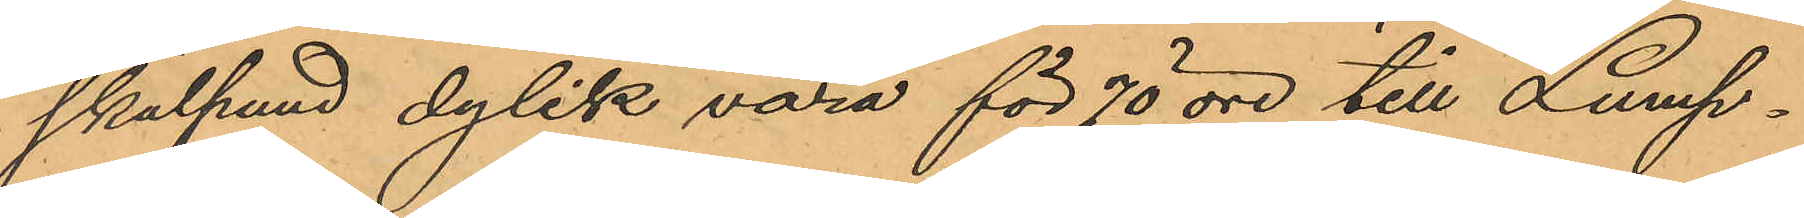skålpund dylik vara för 70 öre till Lump¬
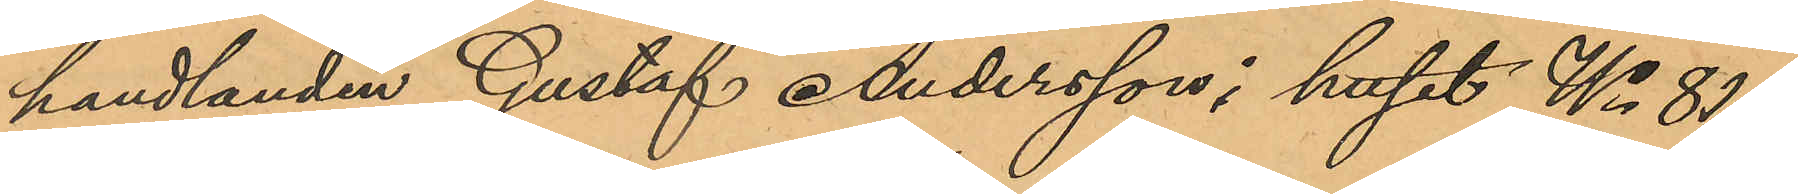handlanden Gustaf Andersson i huset No 81 i
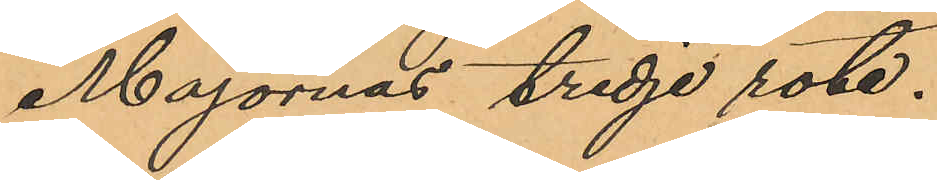Majornas tredje rote.
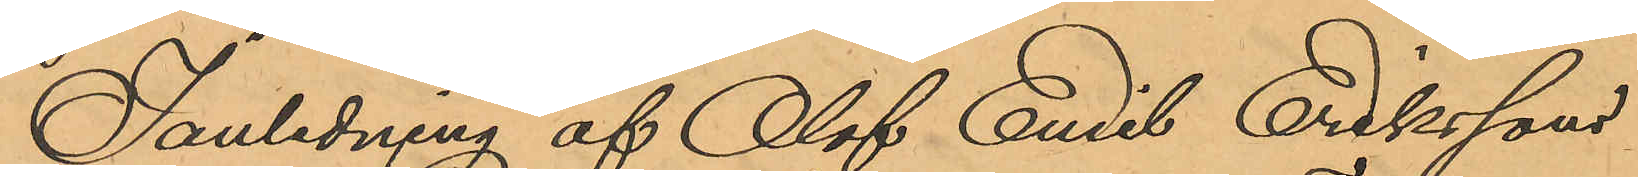I anledning af Olof Emil Erikssons
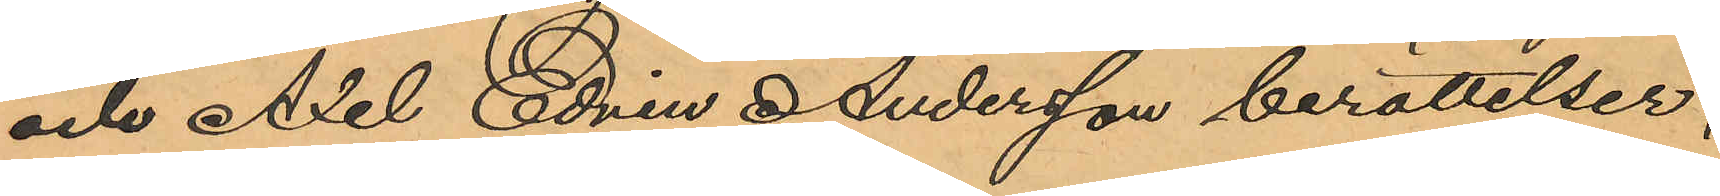och Axel Edvin Andersson berättelser,
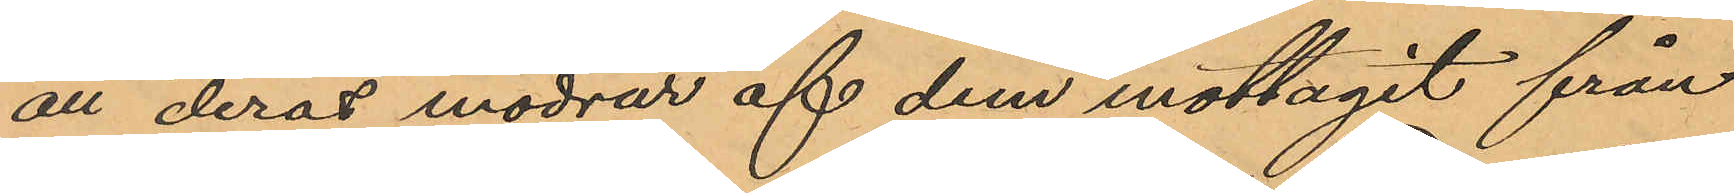att deras mödrar af dem mottagit från
